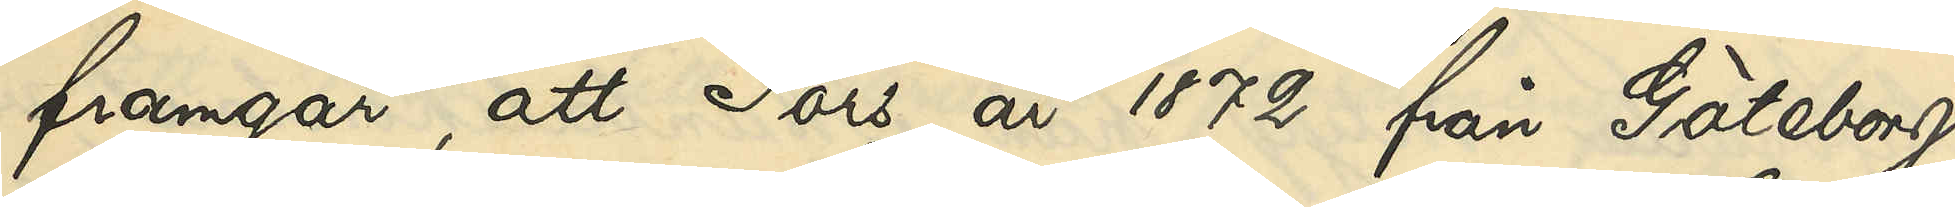framgår, att Fors år 1872 från Göteborg
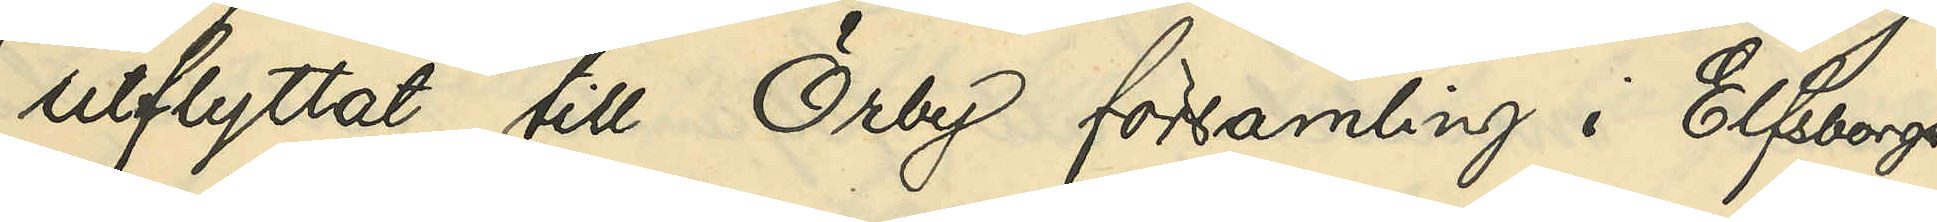utflyttat till Örby församling i Elfsborgs
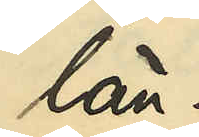län.
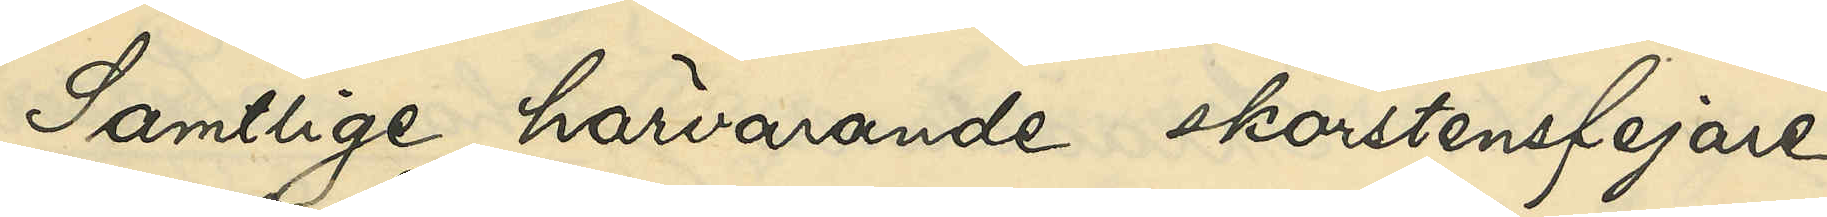Samtlige härvarande skorstenfejare
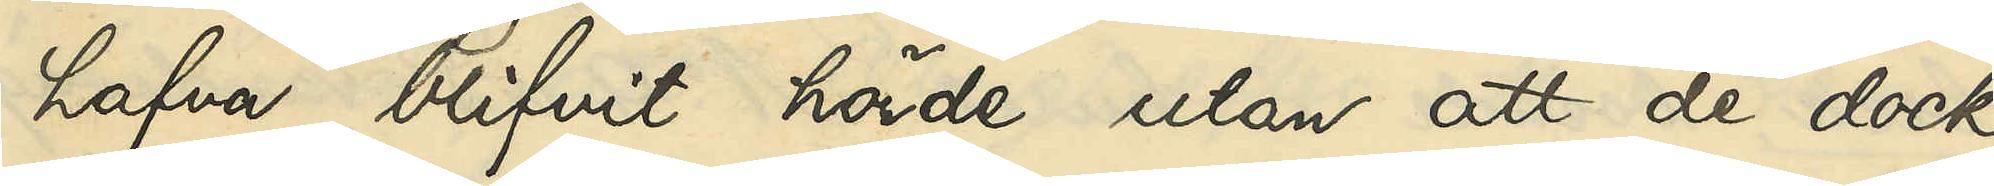hafva blifvit hörde utan att de dock
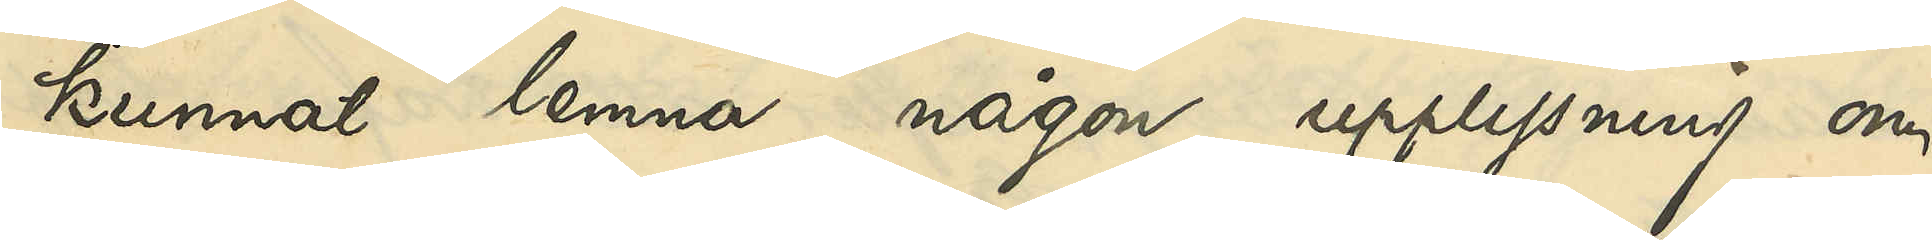kunnat lemna någon upplysning om
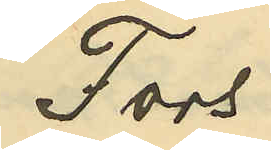Fors.
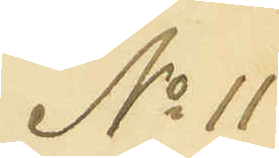No 11
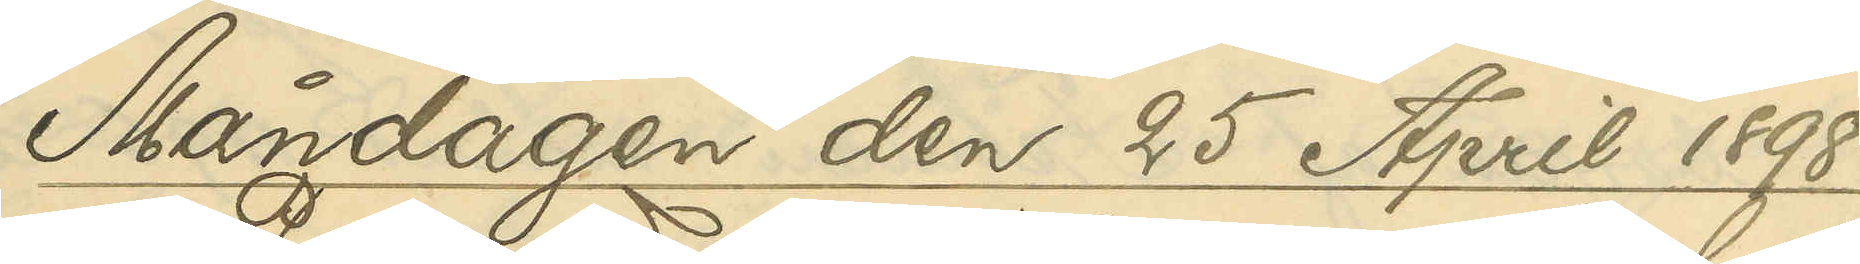Måndagen den 25 April 1898
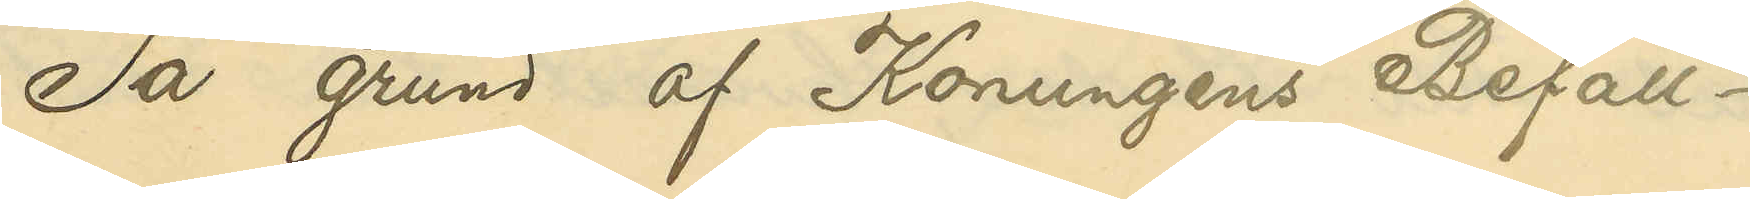På grund af Konungens Befall¬
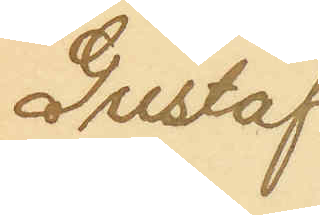Gustaf
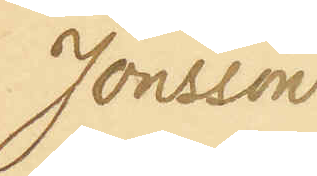Jonsson
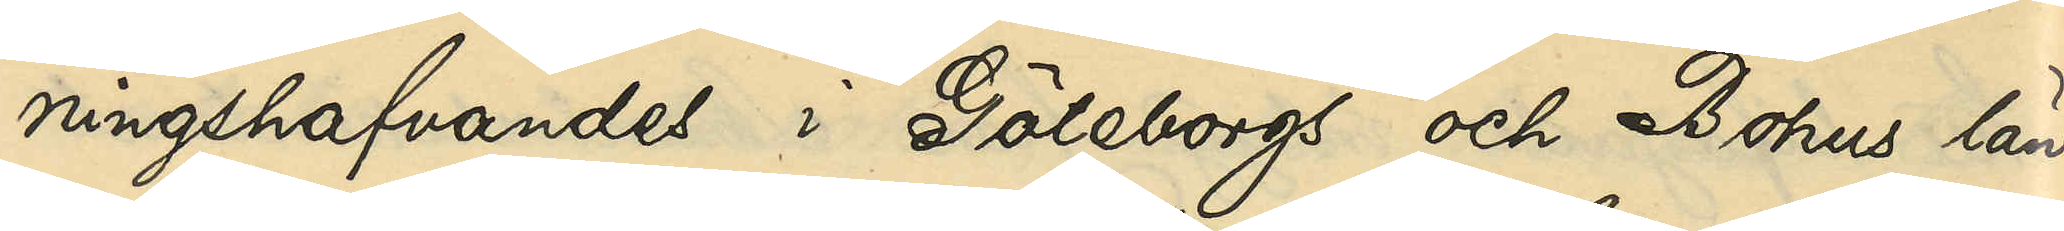ningshafvandes i Göteborgs och Bohus län
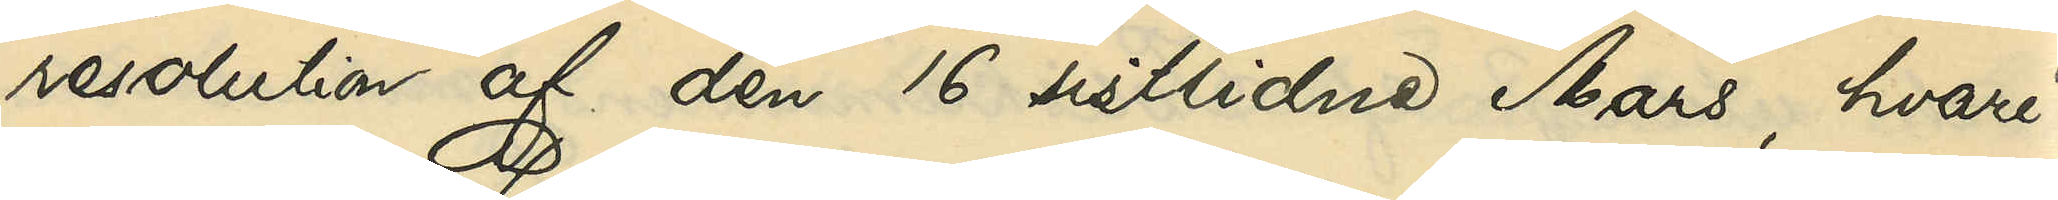resolution af den 16 sistlidne Mars, hvari¬
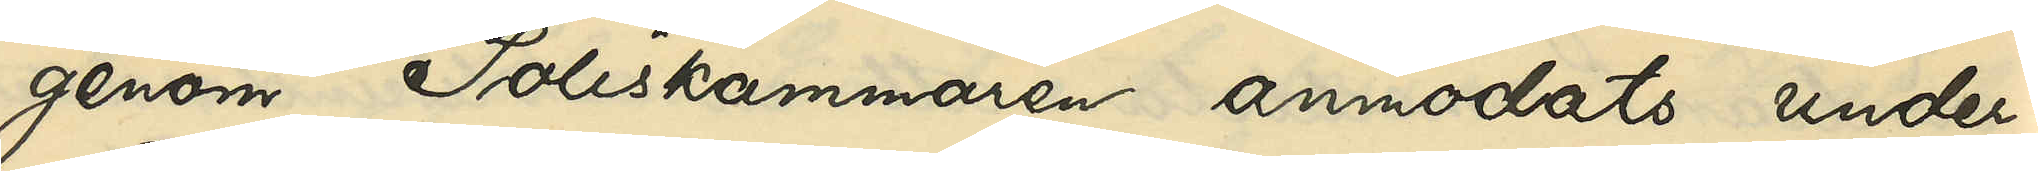genom Poliskammaren anmodats under¬
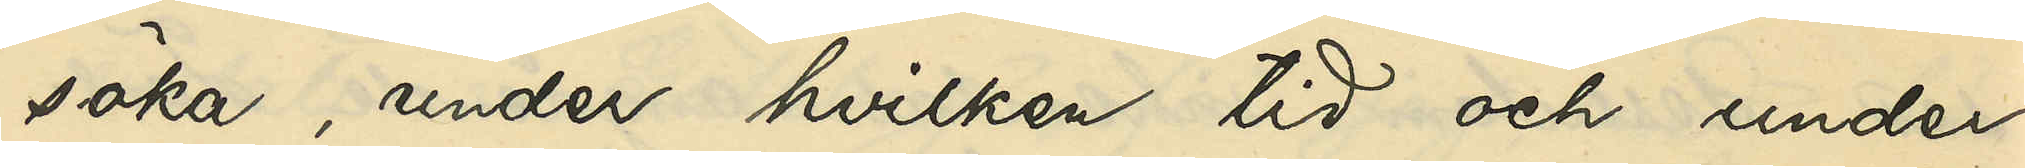söka, under hvilken tid och under
